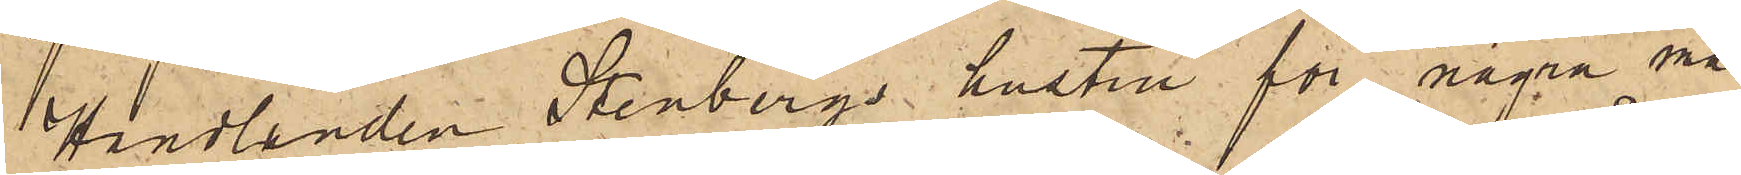Handlanden Stenbergs hustru för några må¬
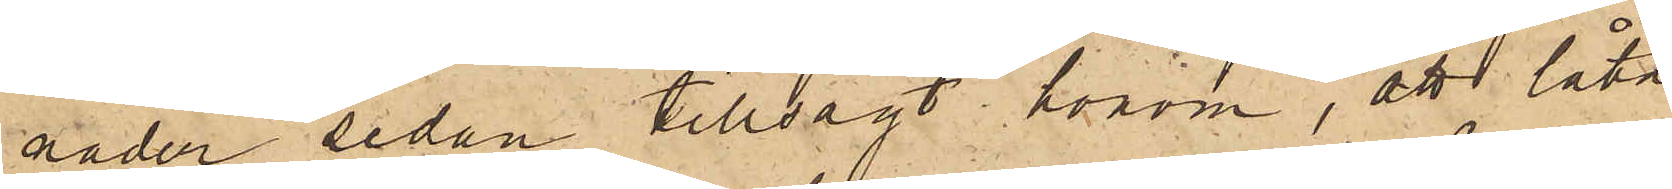nader sedan tillsagt honom, att låta
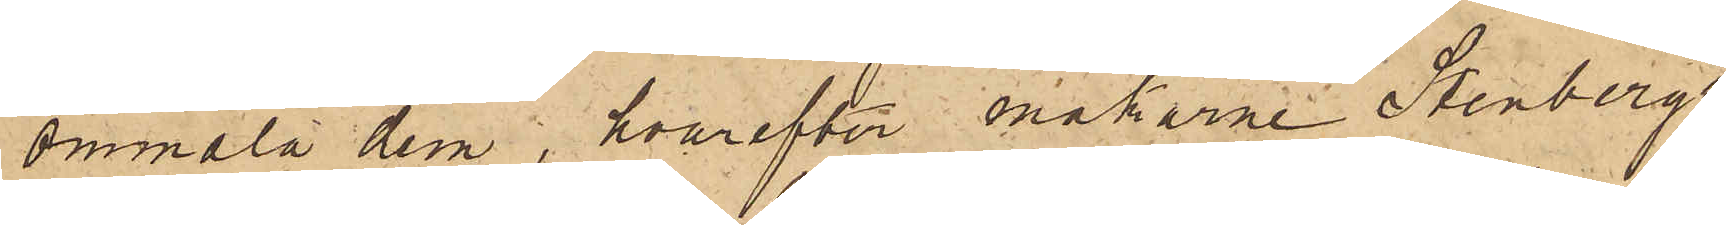ommåla dem, hvarefter makarne Stenbergs
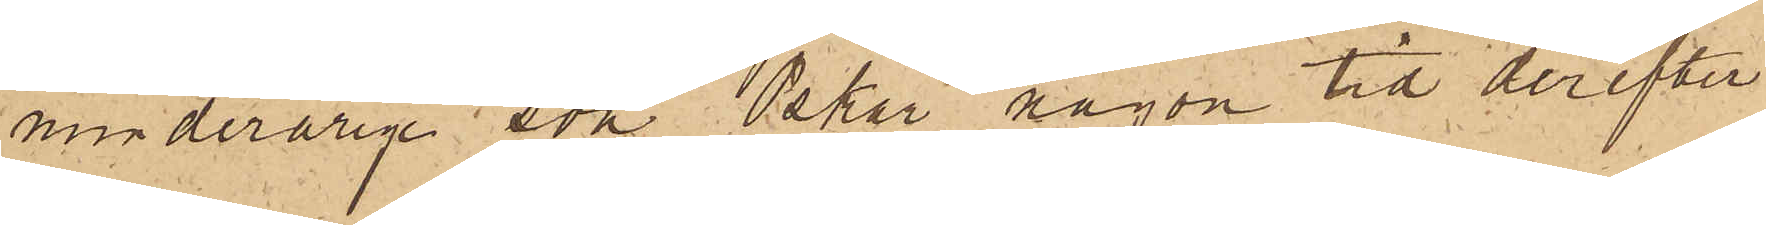minderårige son Oskar någon tid derefter
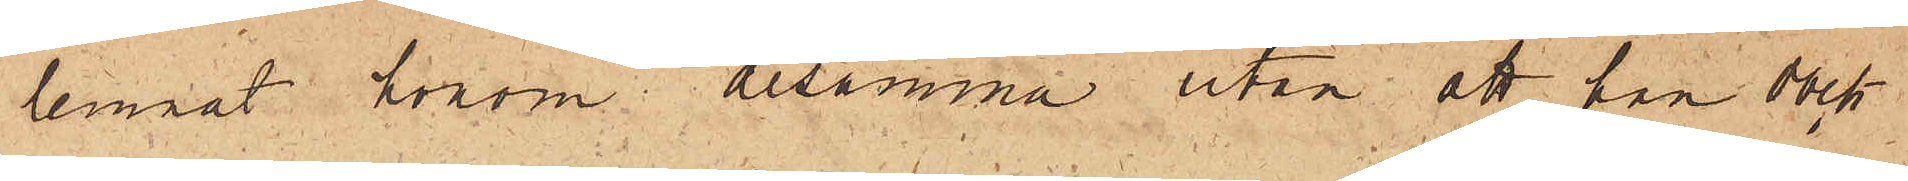lemnat honom desamma utan att han dock
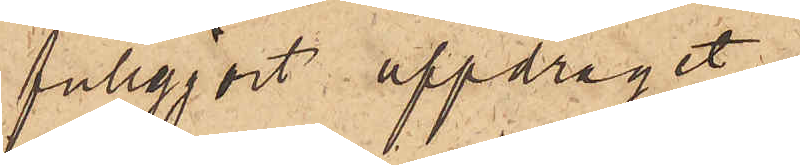fullgjort uppdraget.
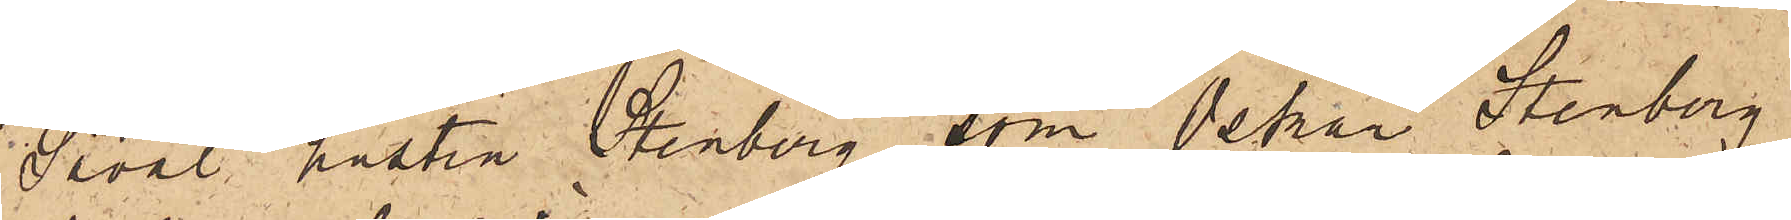Såväl hustru Stenberg som Oskar Stenberg
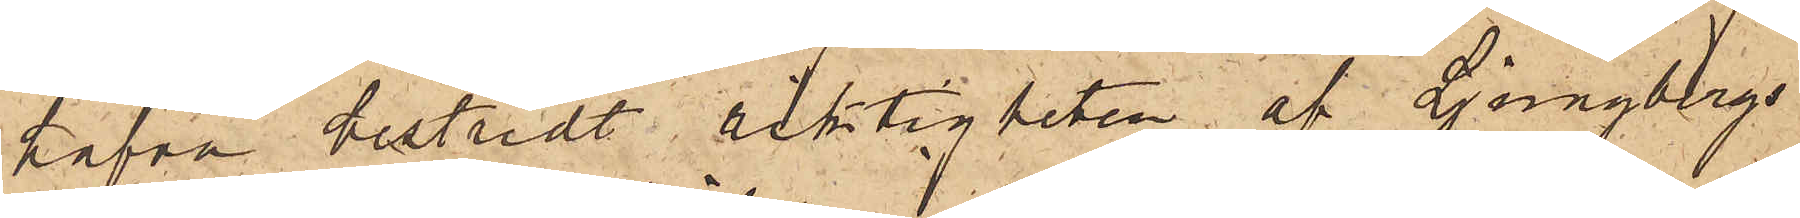hafva bestridt riktigheten af Ljungbergs
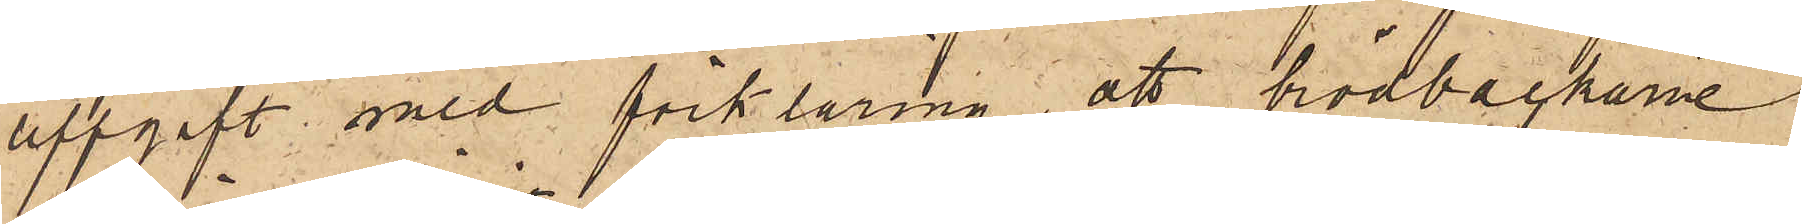uppgift med förklaring, att brödbackarne
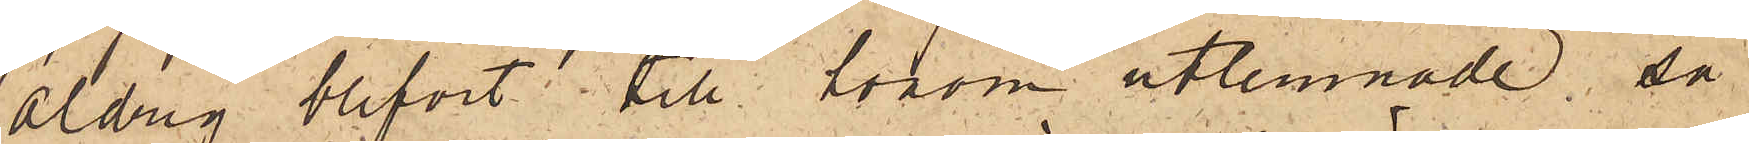aldrig blifvit till honom utlemnade så
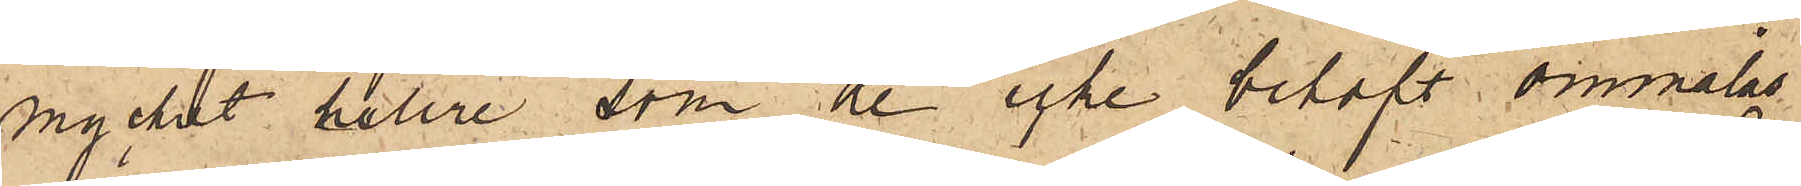mycket hellre som de icke behöft ommålas
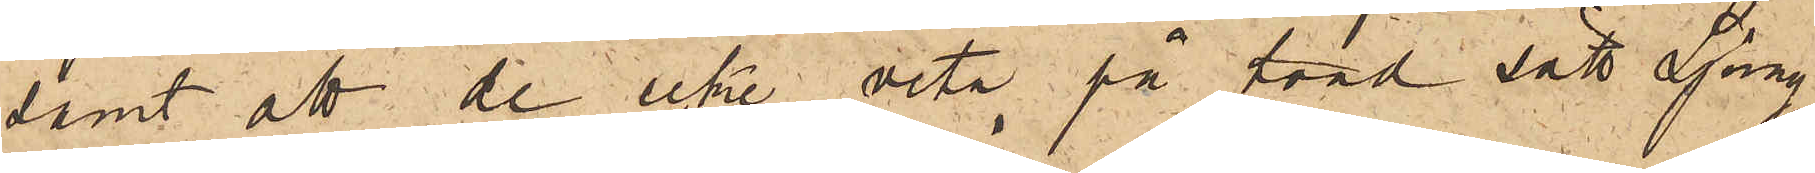samt att de icke veta på hvad sätt Ljung¬
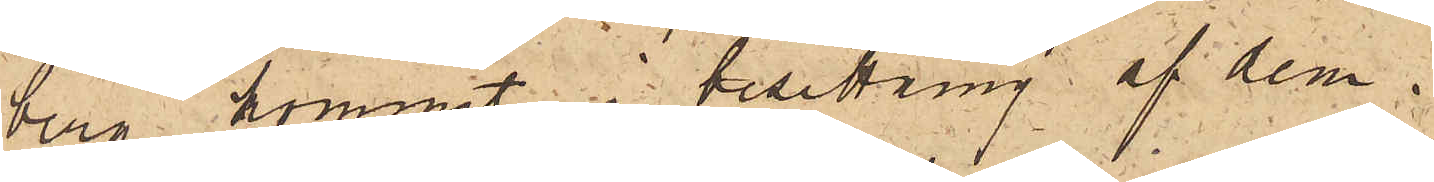berg kommit i besittning af dem.
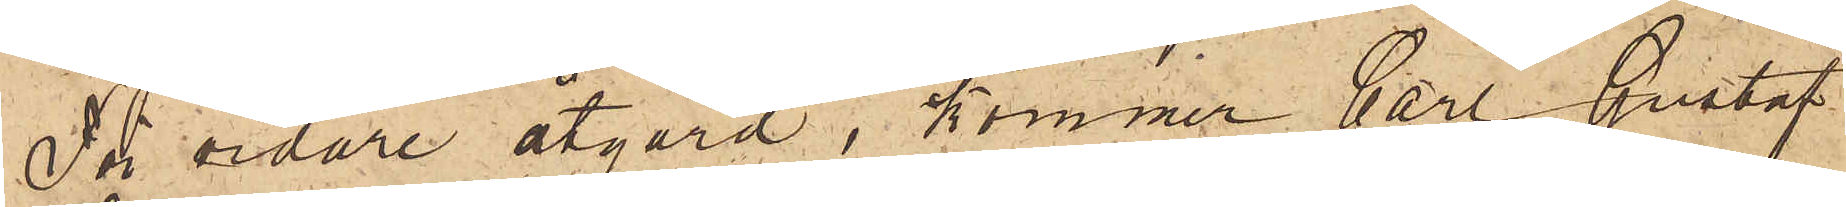För vidare åtgärd, kommer Carl Gustaf
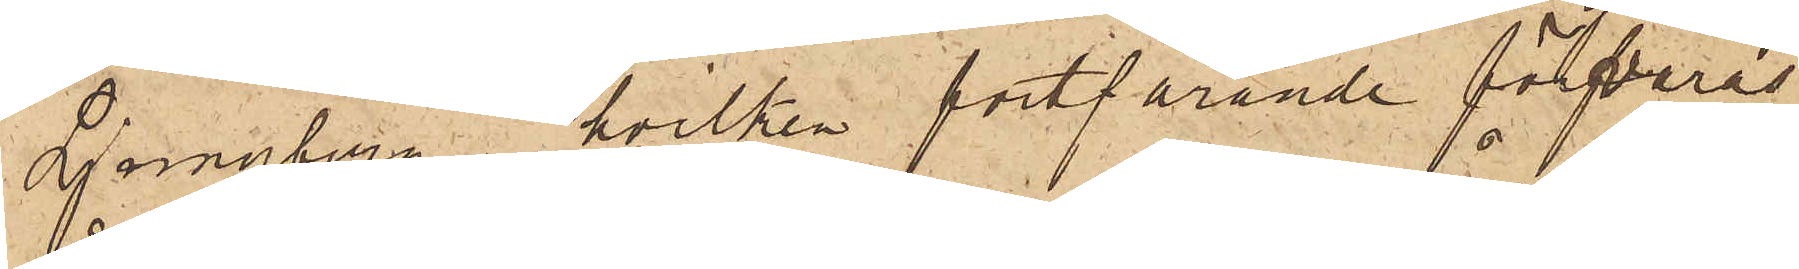Ljungberg, hvilken fortfarande förvaras
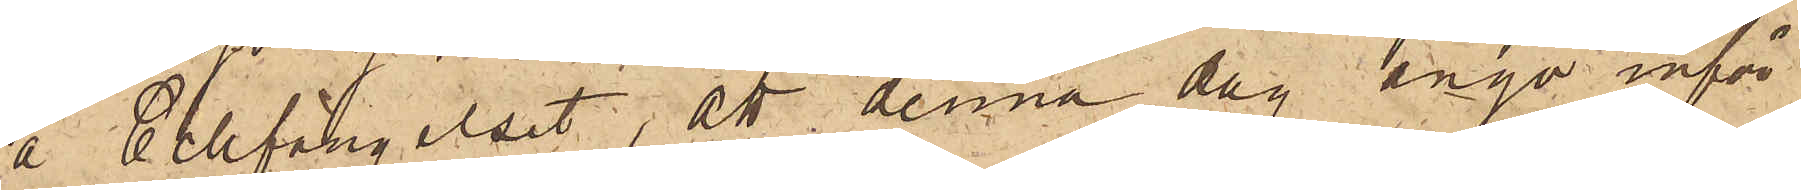å Cellfängelset, att denna dag ånyo inför
